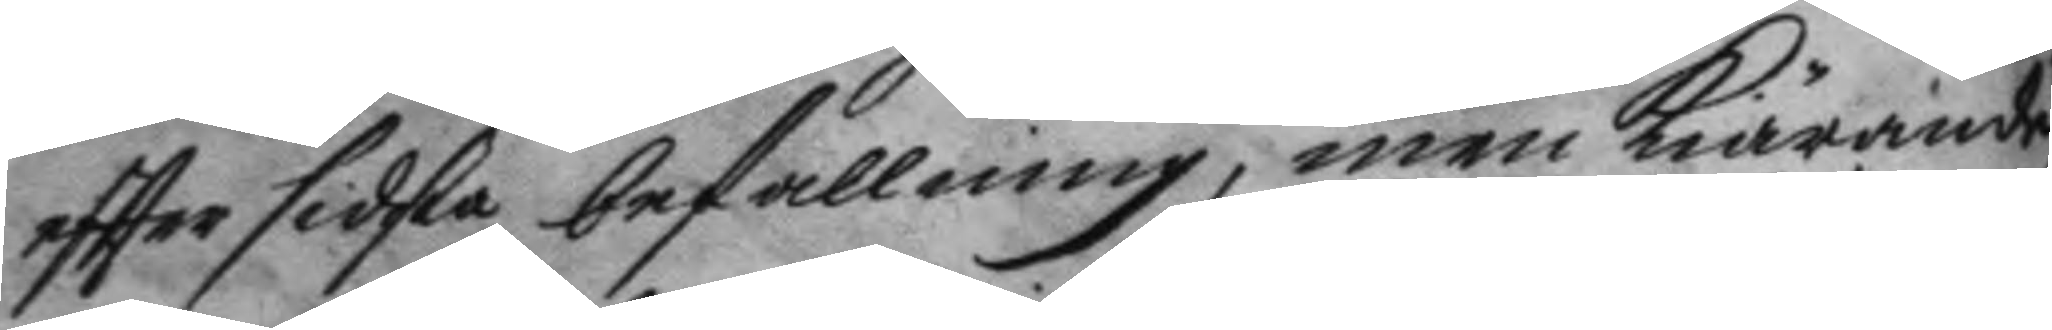eftter sidsta befallning, men kiöeande
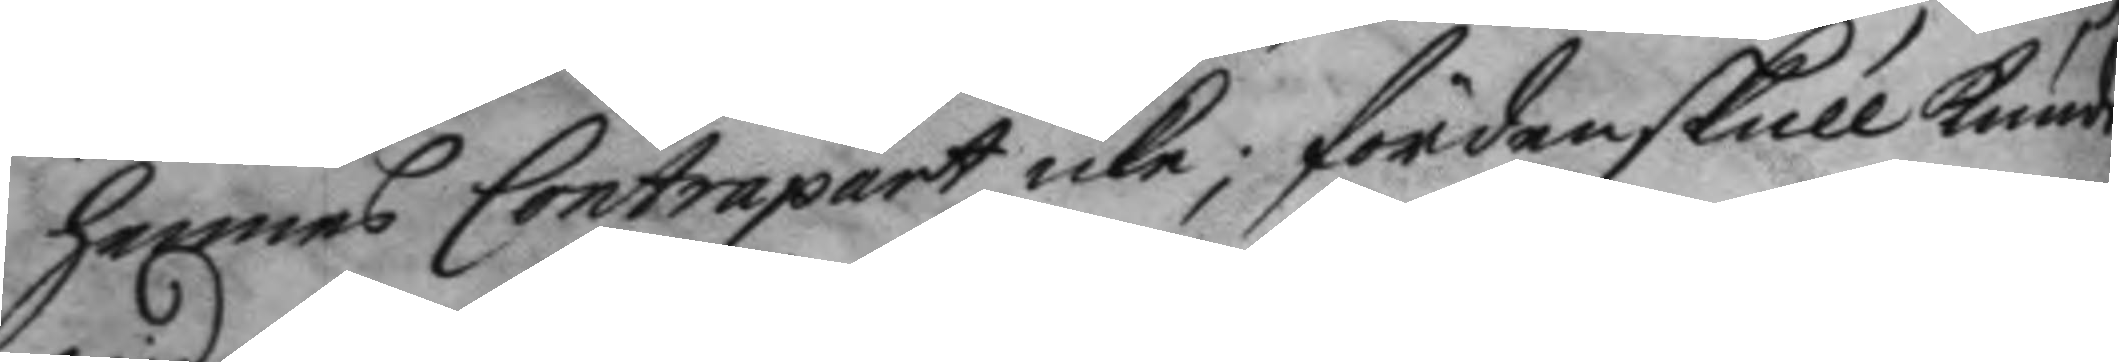hennes Contrapart icke; fördenskull kunde
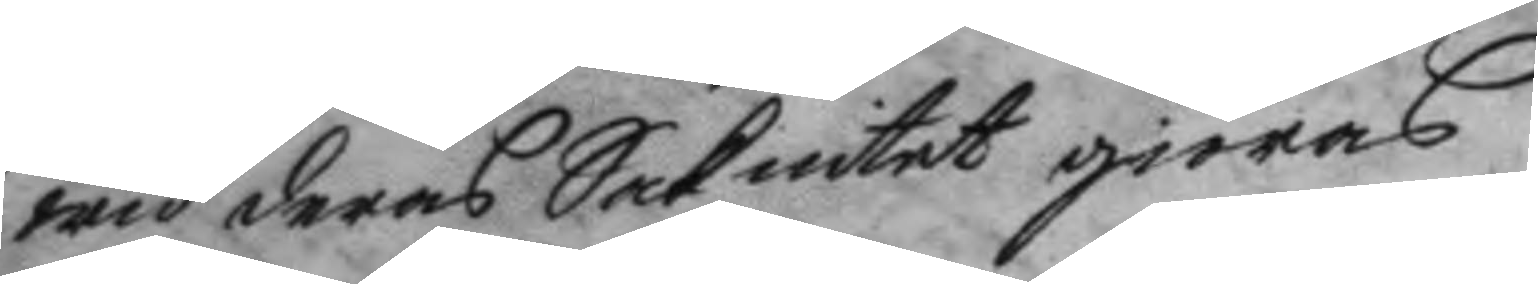wid deras Sak intet giöras.
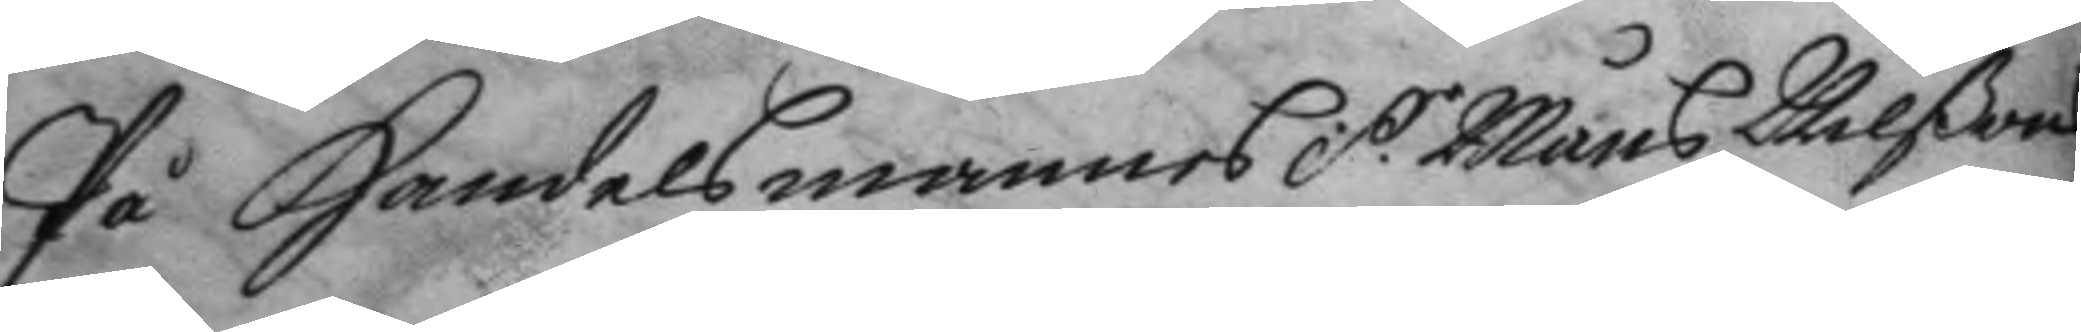På Handelsmannes S.r Måns Nilßons
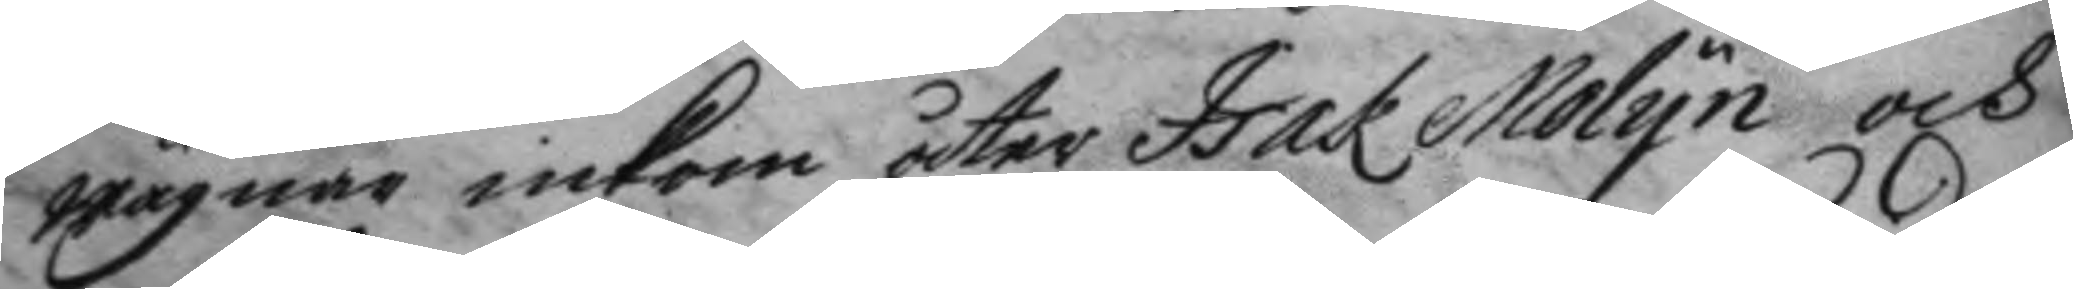wägnar inkom åter Isak Molyn och
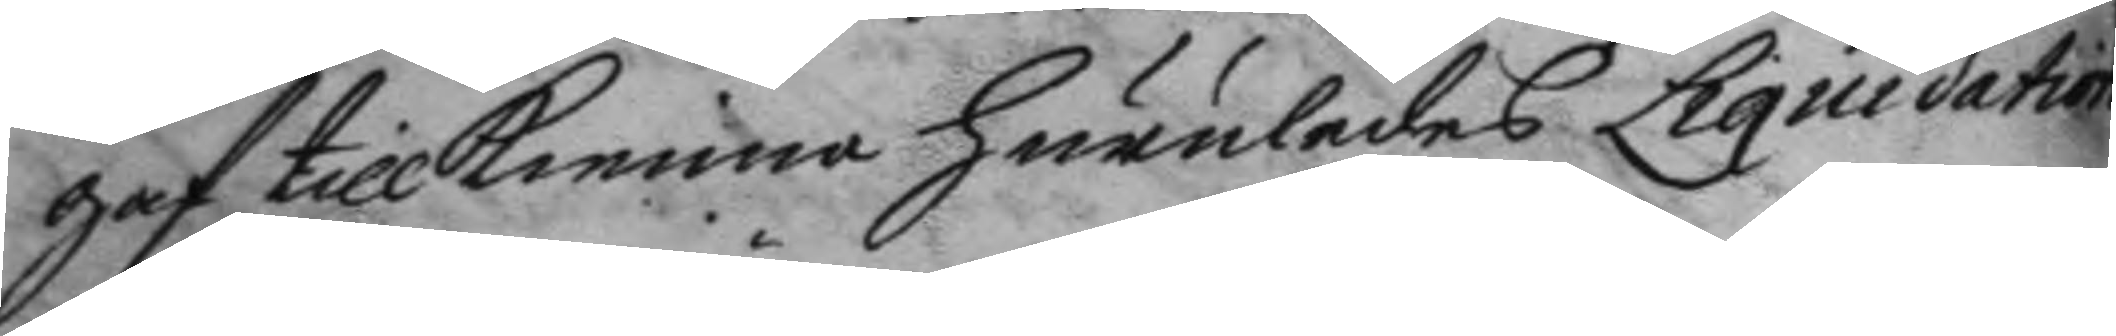gaf tillkenna huruledes Liquidation
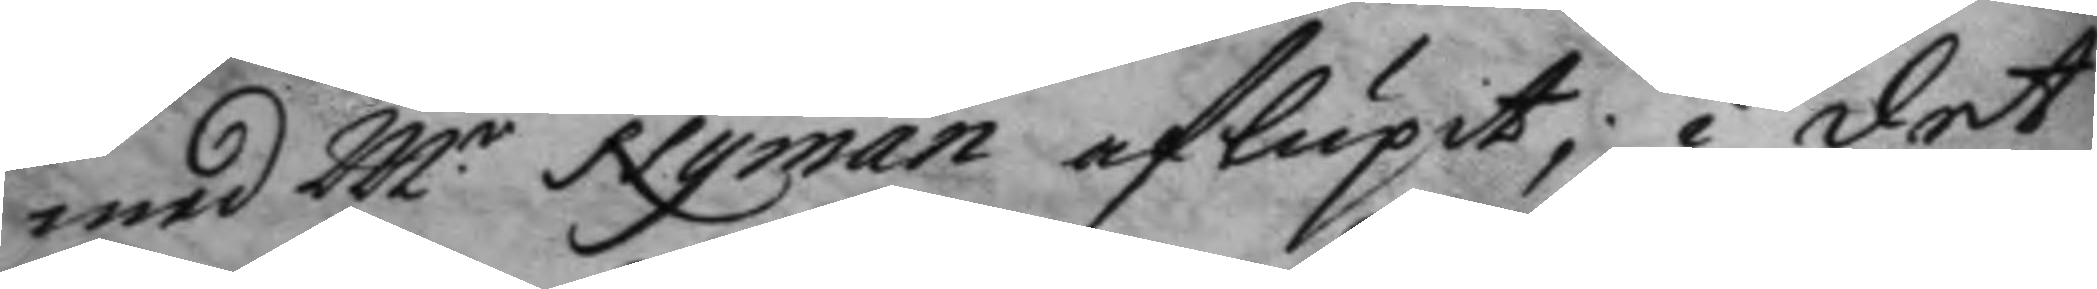med M.r Nyman aflupit; i det
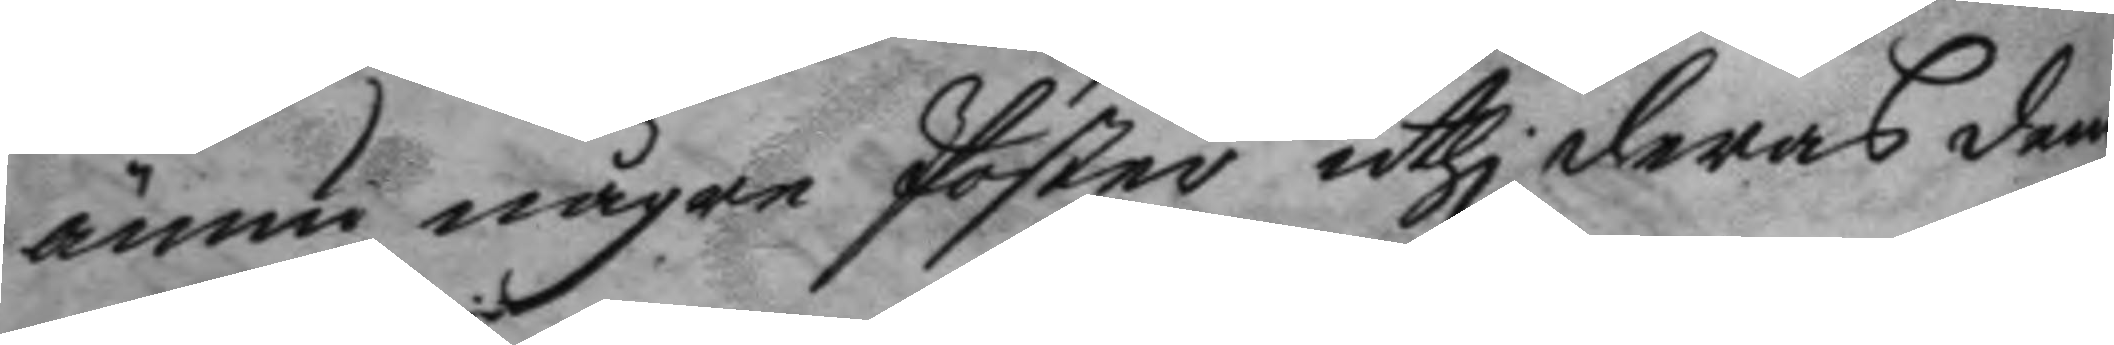ännu någre Poster uthi deras dem
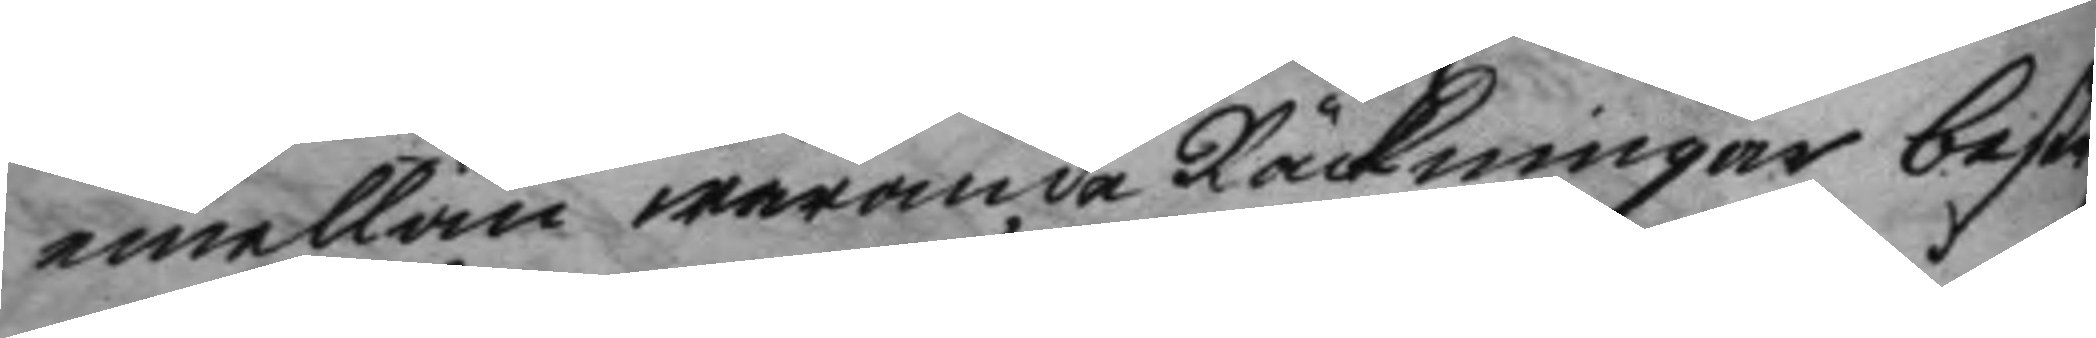emellan warande Räckningar bestr
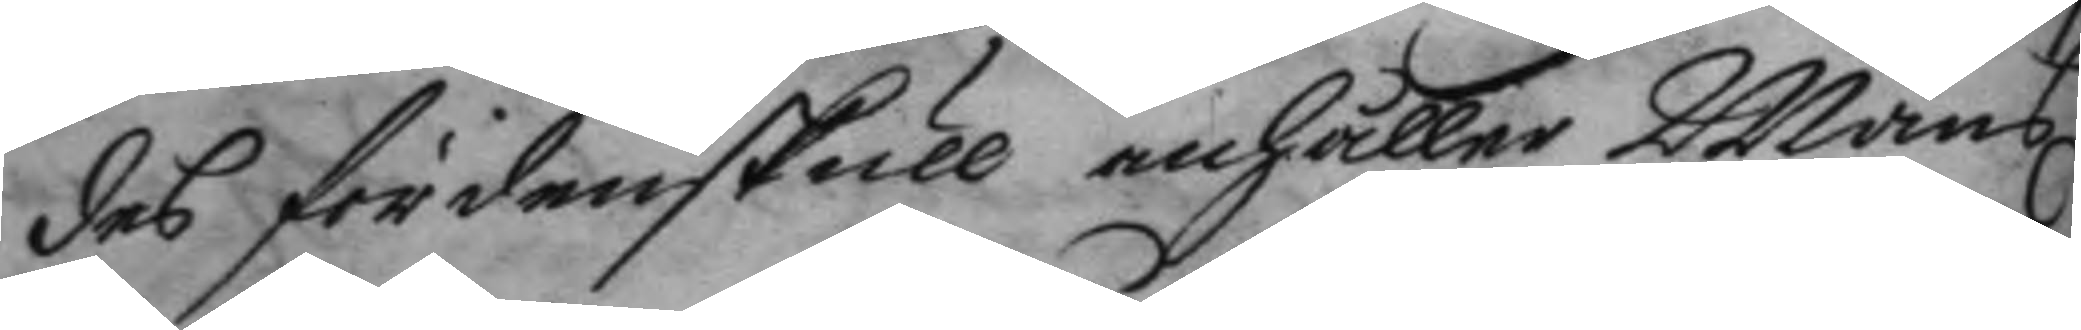des fördenskull anhåller Måns
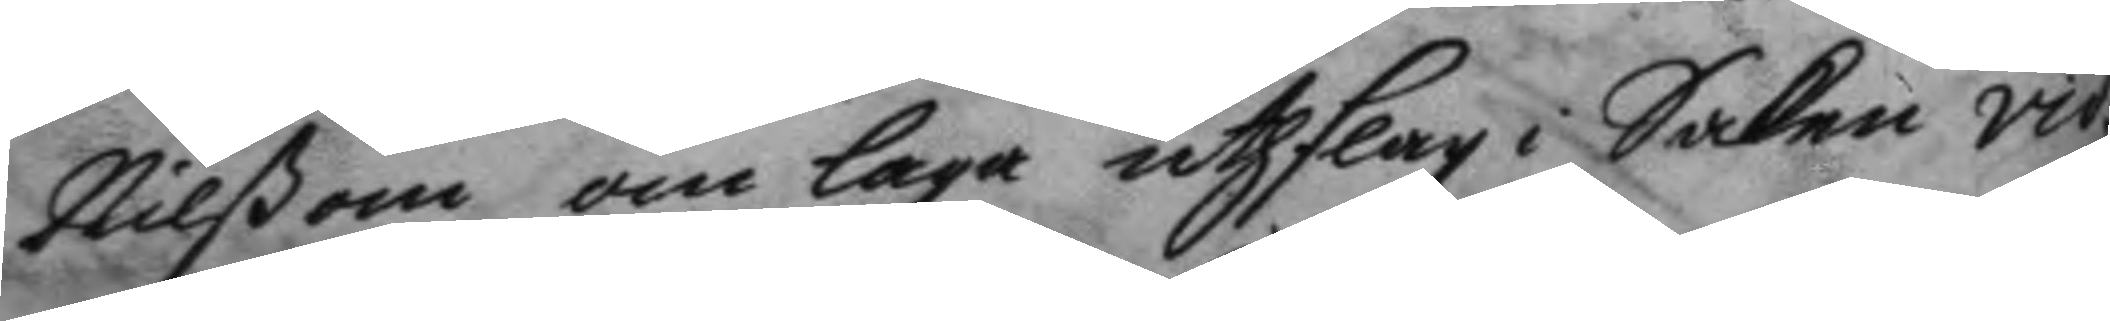Nilßon om laga uthslag i Saken vid:
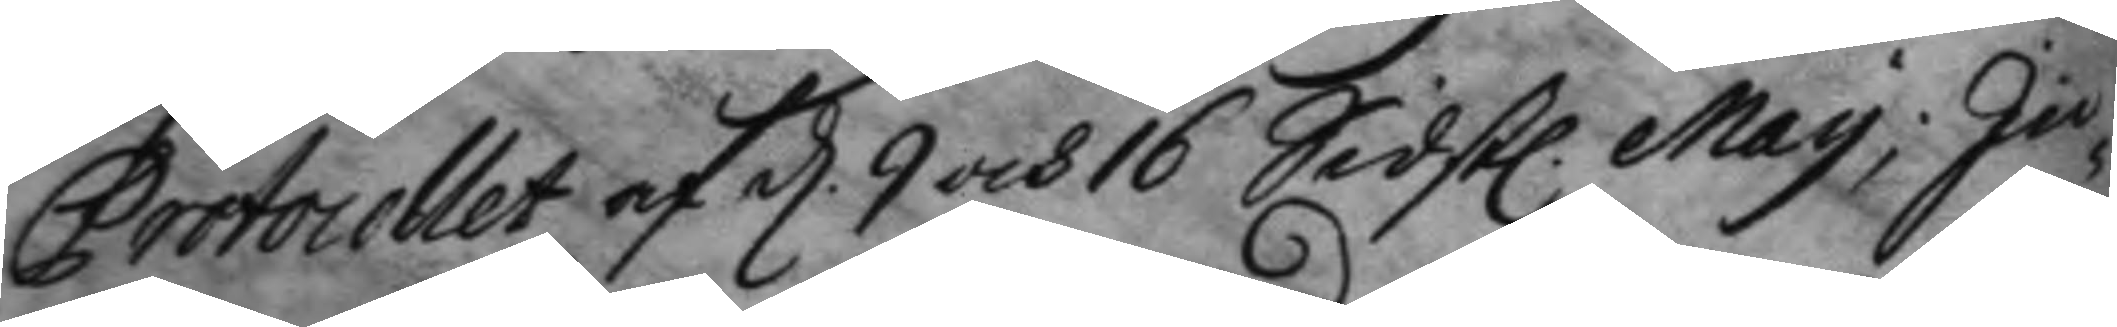Protocollet af d. 9 och 16 Sidst. May, In¬
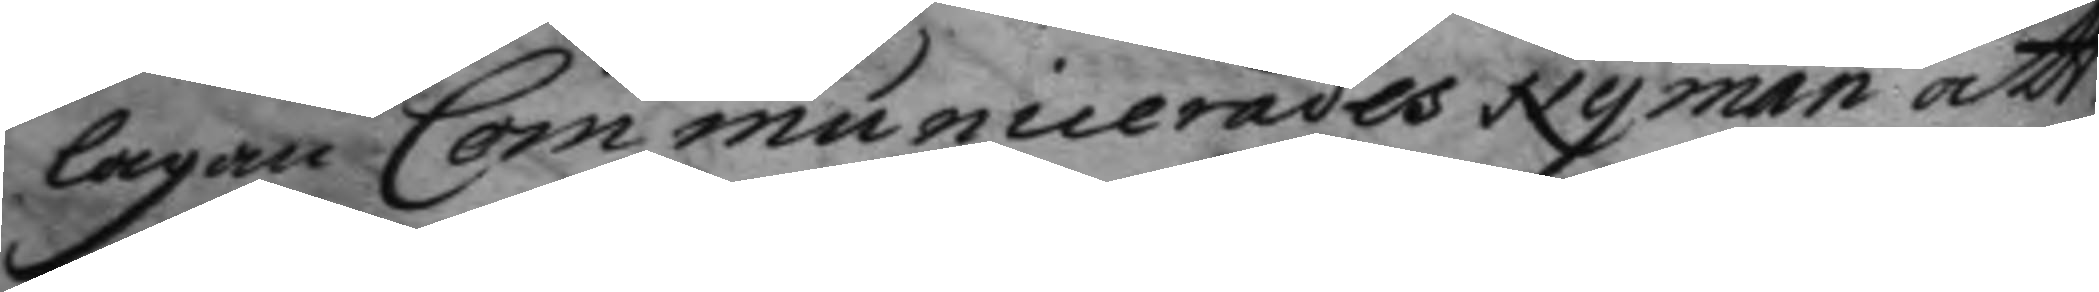lagan Communicerades Nyman att
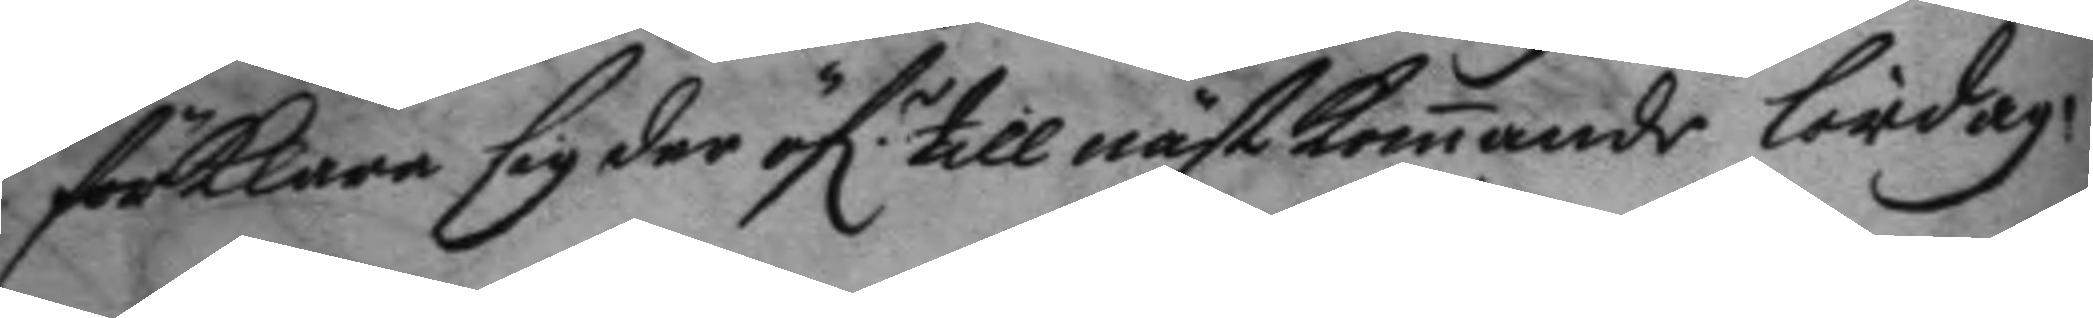förklara sig der öf.r till kommande lördag.
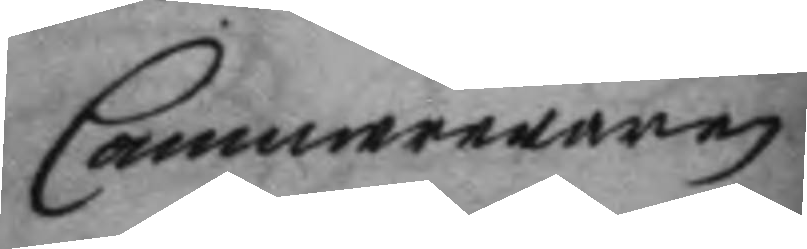Cammereraren
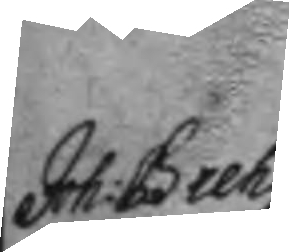Joh: Breh¬
